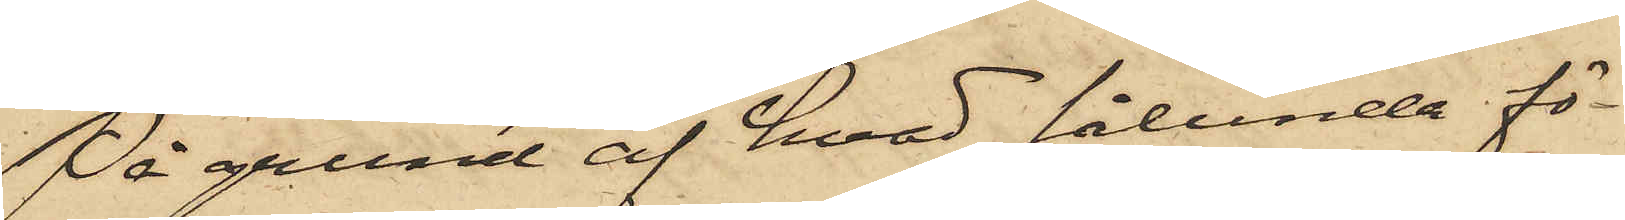På grund af hvad sålunda fö¬
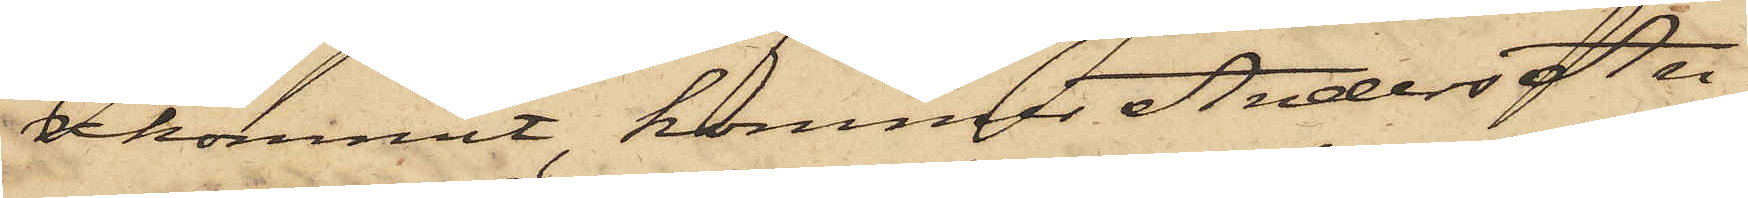rekommit, kommer Anders An¬
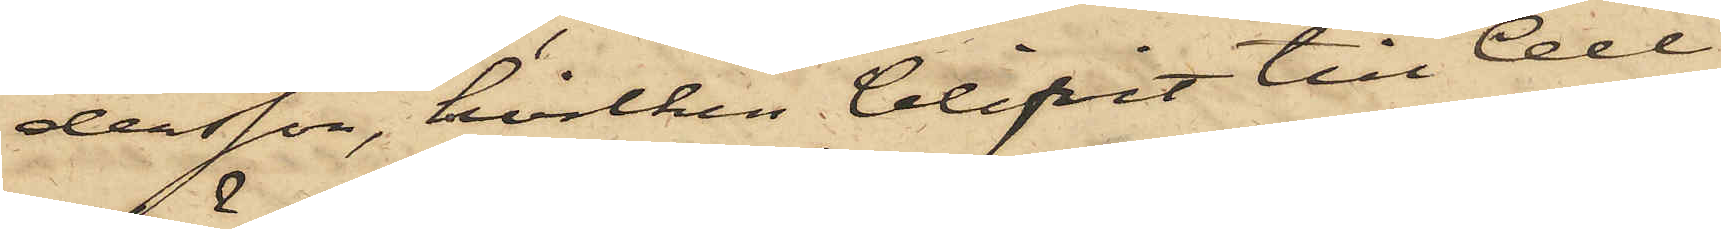dersson, hvilken blifvit till Cell¬
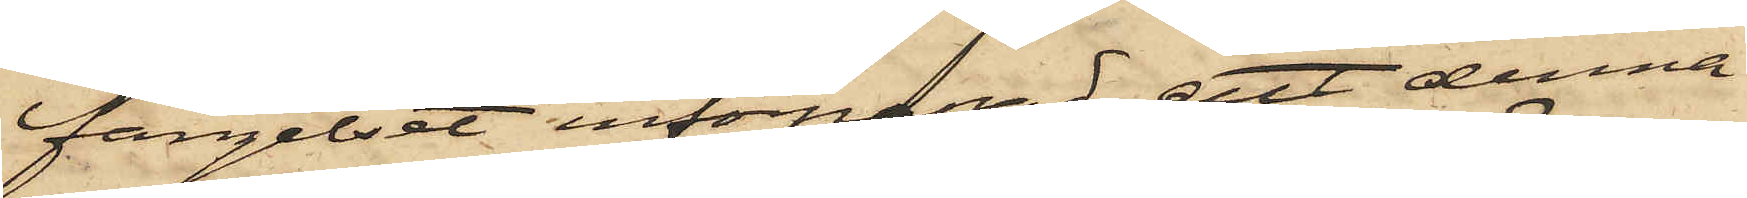fängelset införpassad, att denna
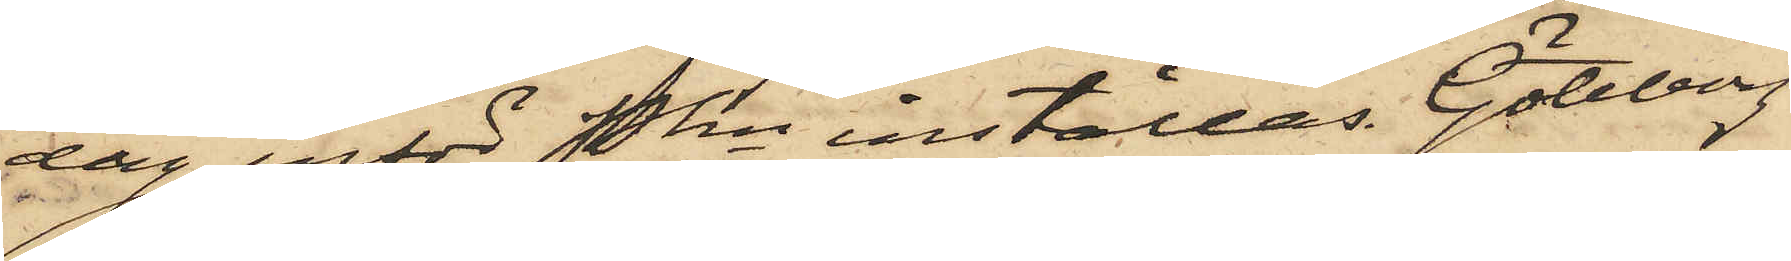dag inför Pkn inställas. Göteborg
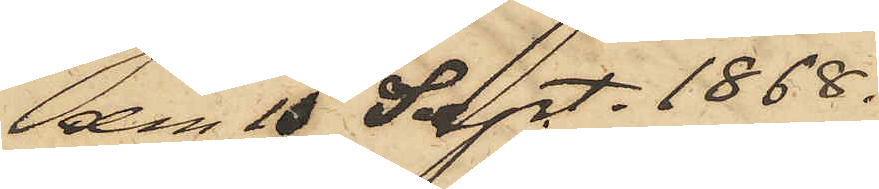den 10 Sept. 1868.
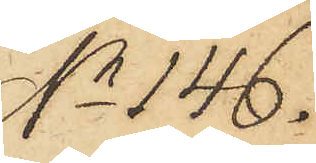No 146.
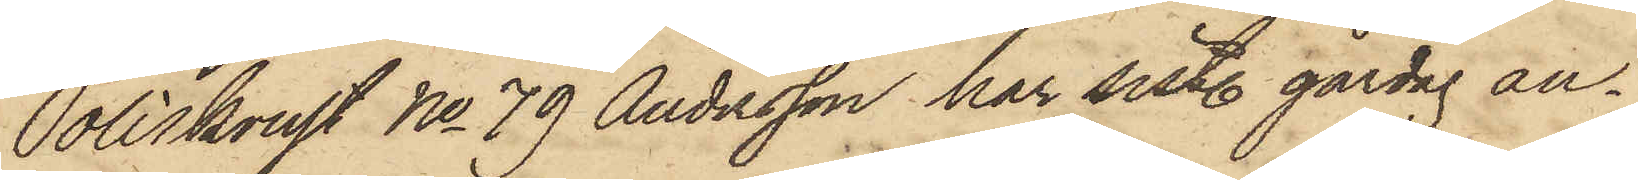Poliskonst No 79 Andersson har sistl. gårdag an¬
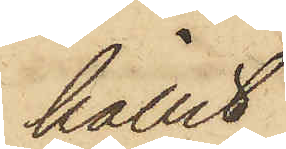hållit
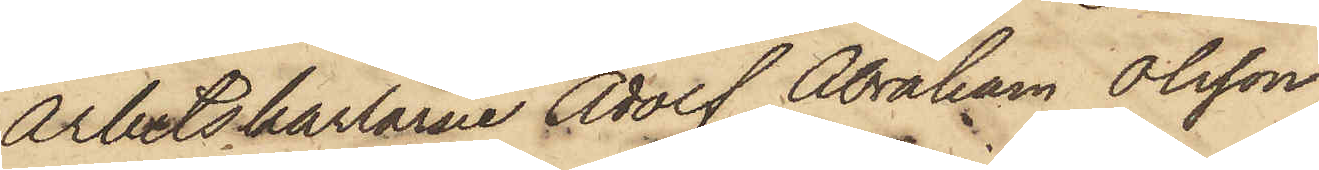Arbetskarlarne Adolf Abraham Olsson,
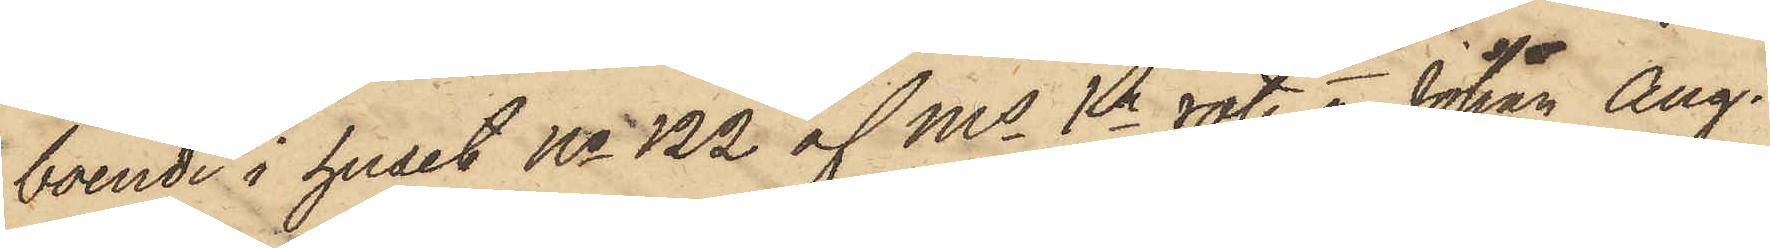boende i huset No 122 af Ms 1a rote o Johan Aug.
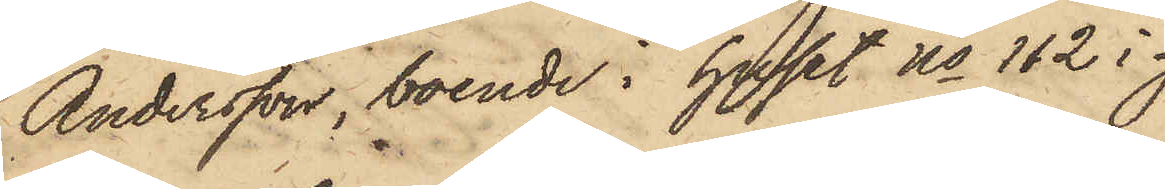Andersson, boende i huset No 112 i
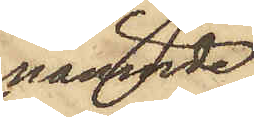nämnde
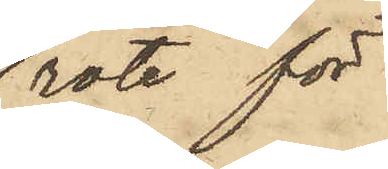rote för
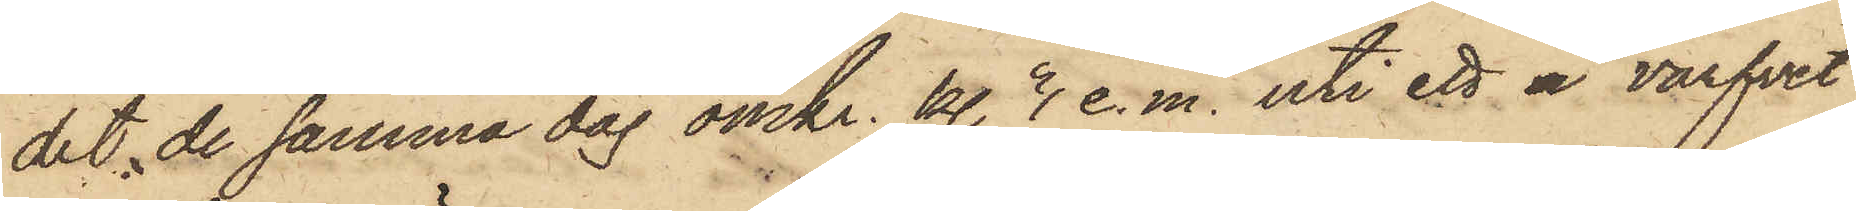det de samma dag omkr. kl. 3 e. m. uti ett å varfvet
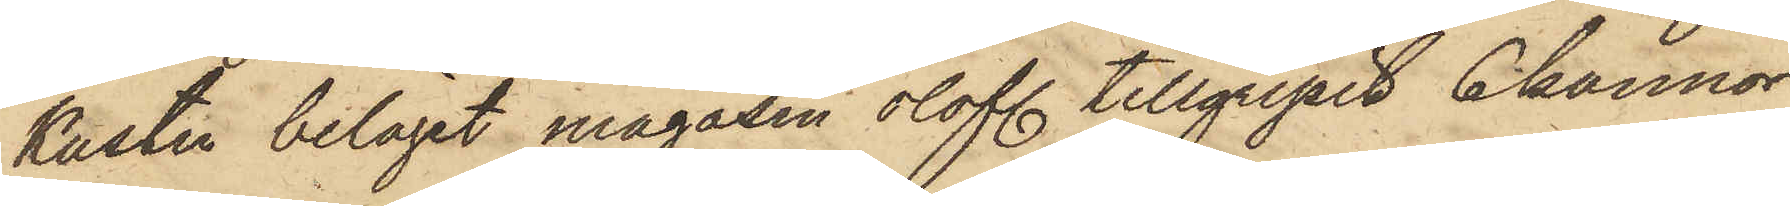Kusten beläget magasin olofl. tillgripit 6 kannor
